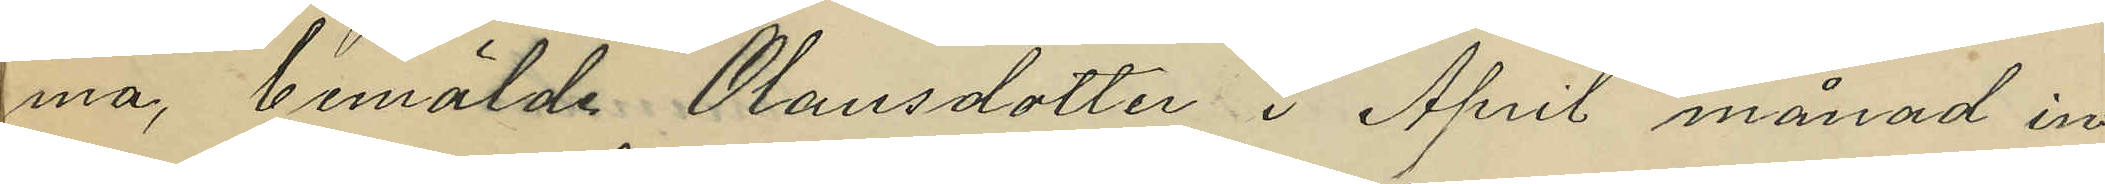ma, bemälde Olausdotter i April månad in¬
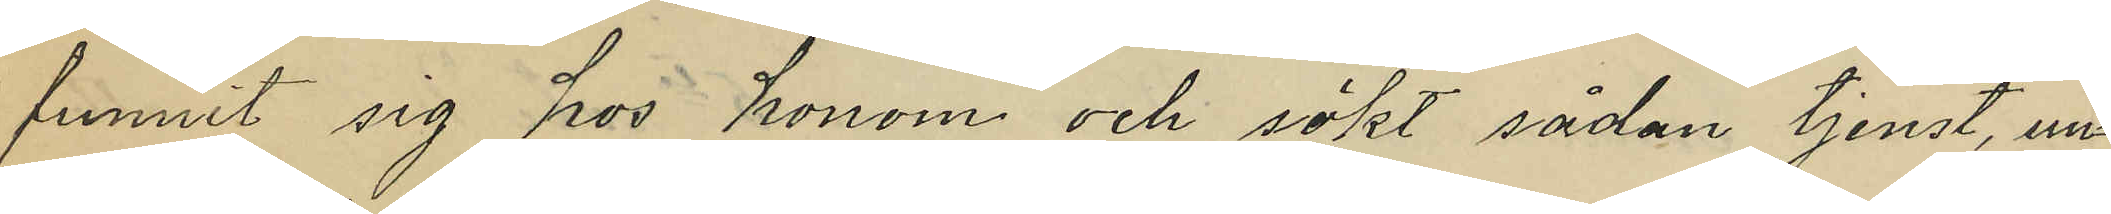funnit sig hos honom och sökt sådan tjenst, un¬
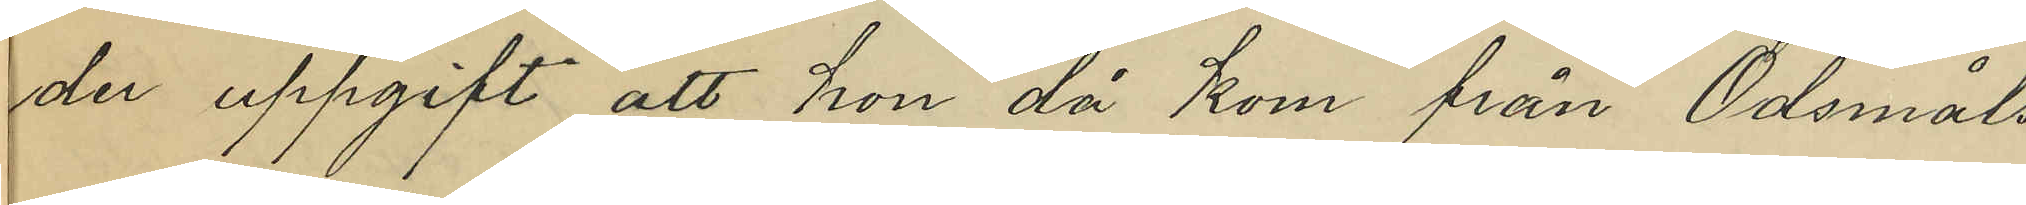der uppgift att hon då kom från Ödsmåls
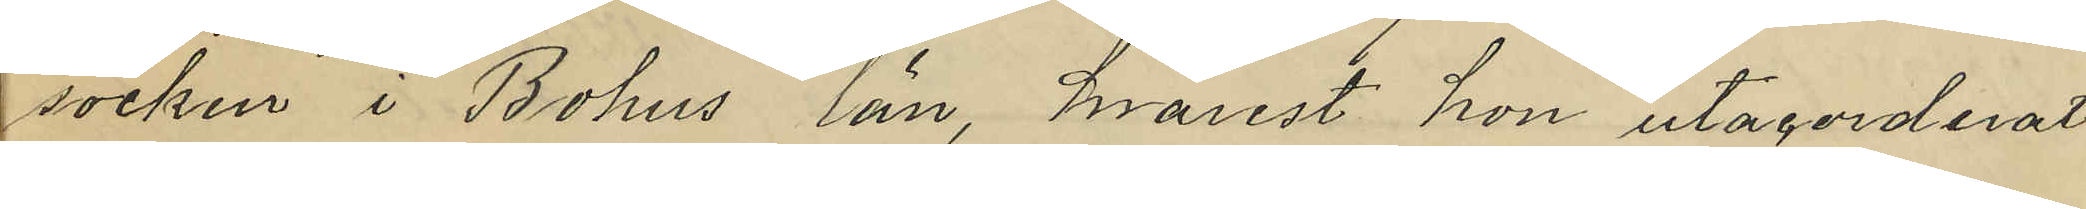socken i Bohus län, hvarest hon utacorderat
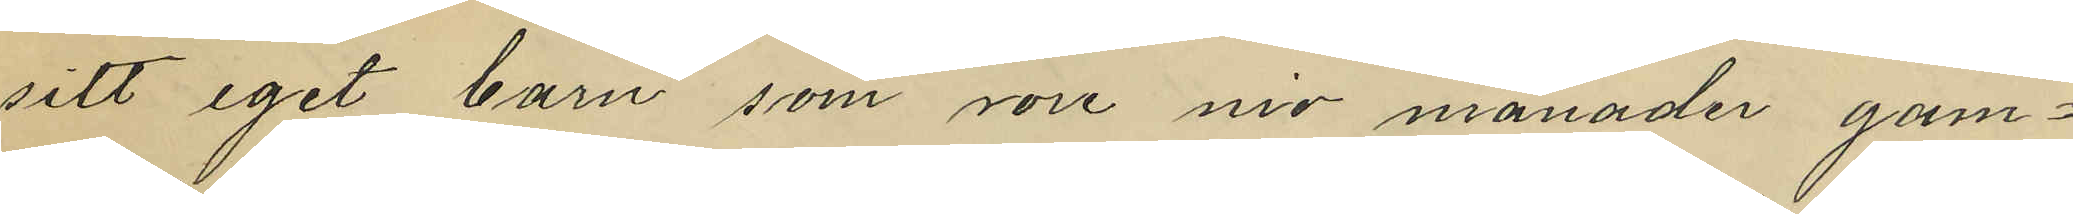sitt eget barn som vore nio månader gam¬
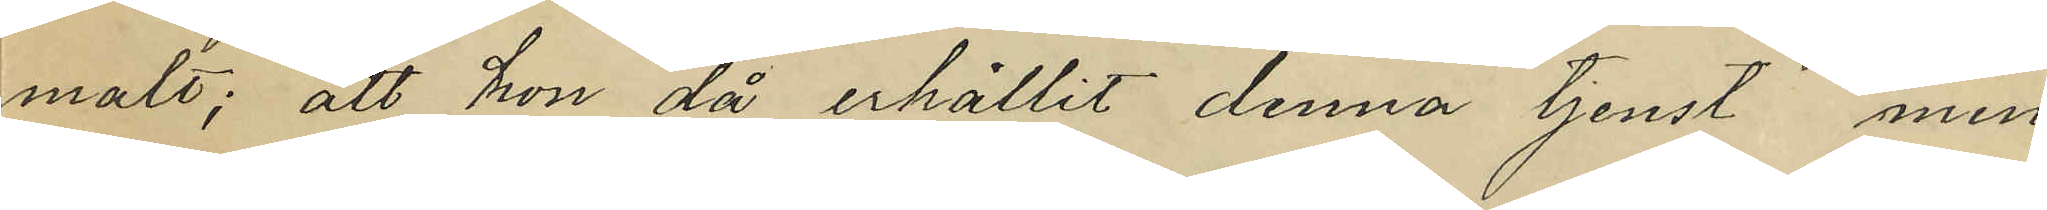malt; att hon då erhållit denna tjenst men
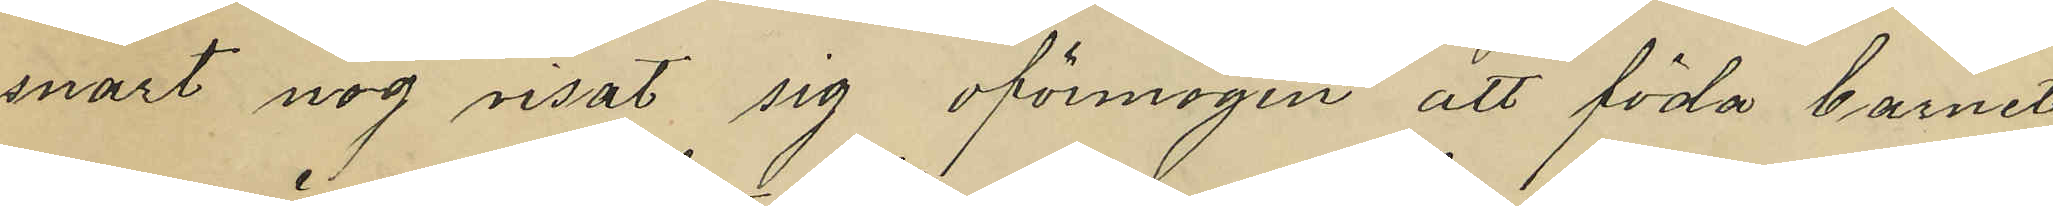snart nog visat sig oförmögen att föda barnet
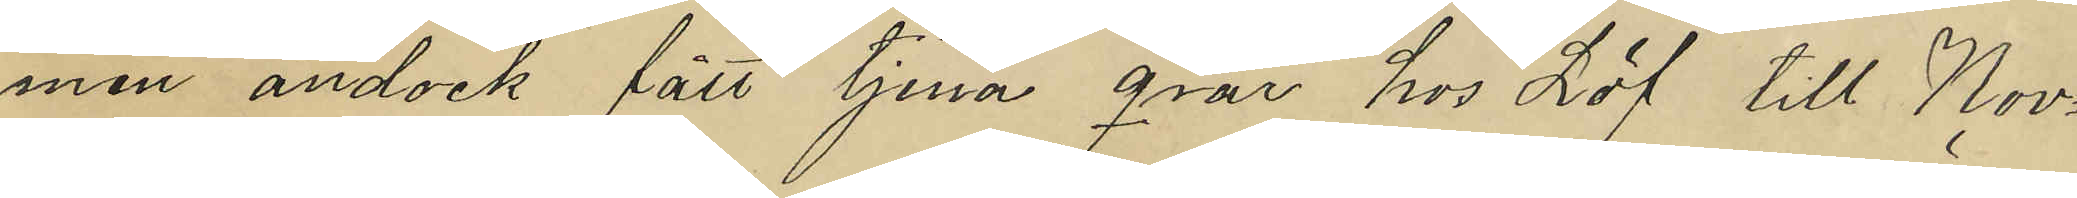men ändock fått tjena qvar hos Löf till Nov¬
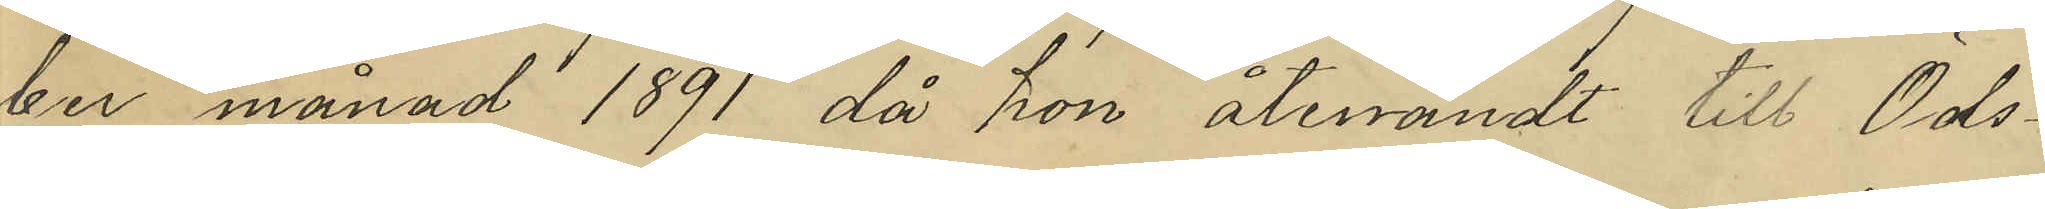ber månad 1891 då hon återvändt till Öds¬
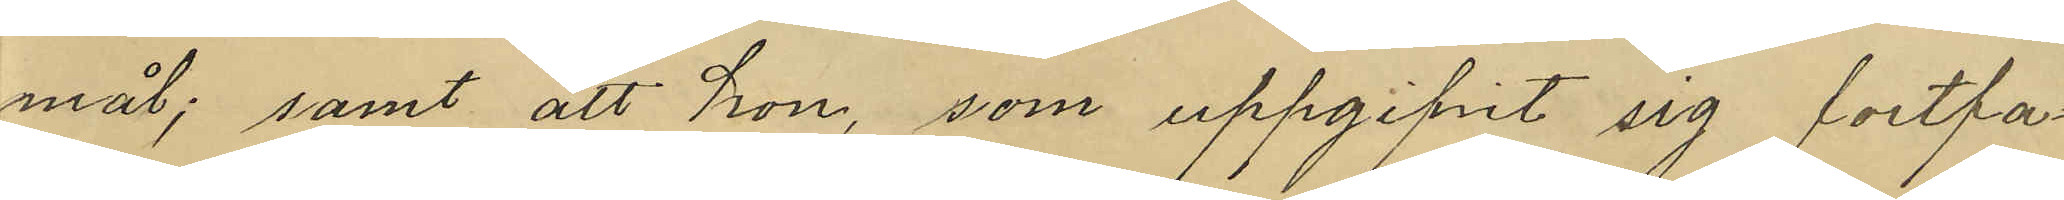mål; samt att hon, som uppgifvit sig fortfa¬
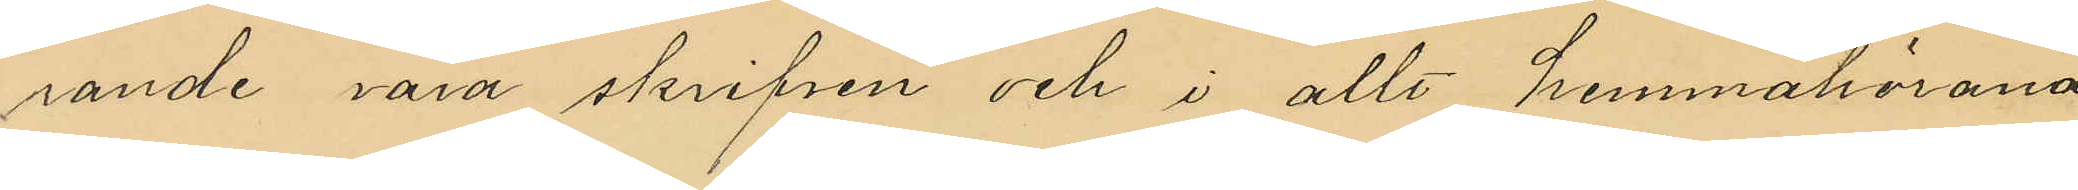rande vara skrifven och i allt hemmahörande
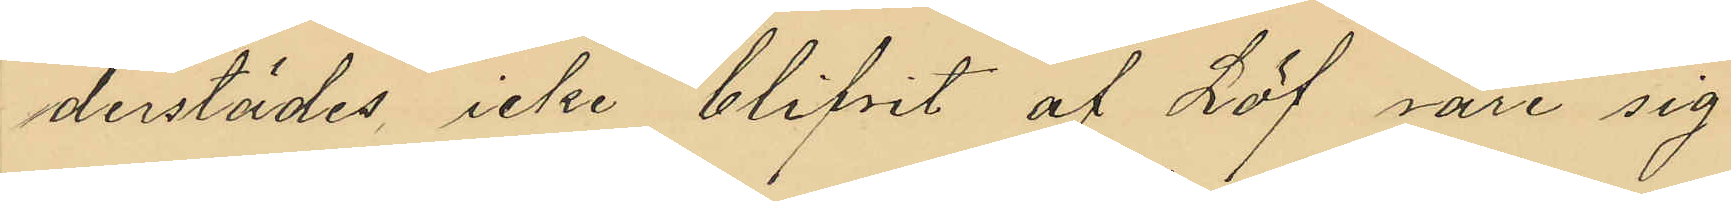derstädes icke blifvit af Löf vare sig
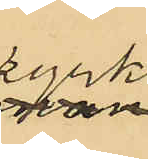kyrko¬
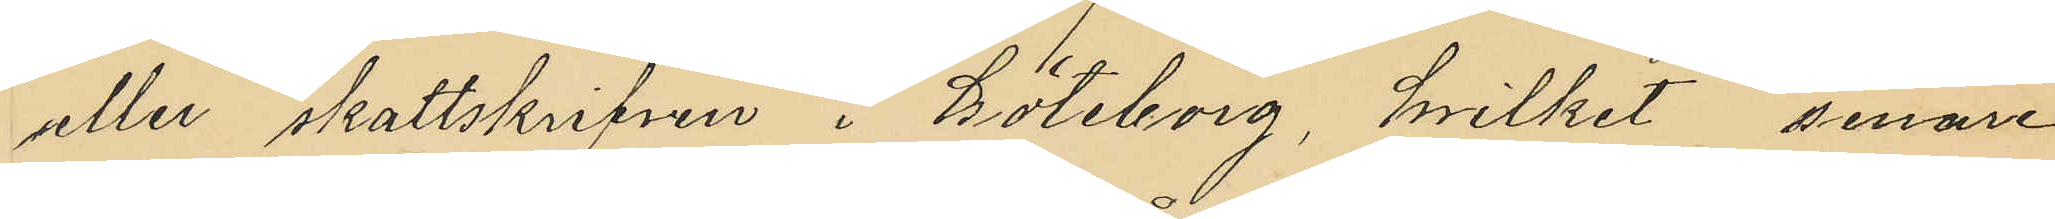eller skattskrifven i Göteborg, hvilket senare
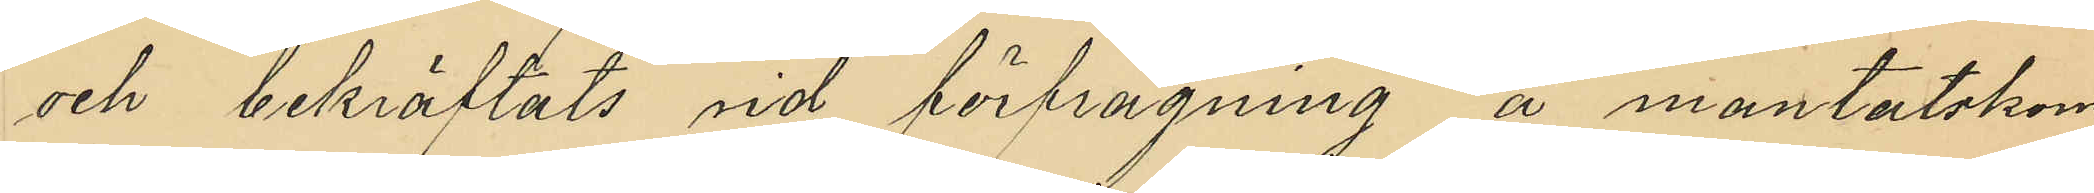och bekräftats vid förfrågning å mantalskom¬
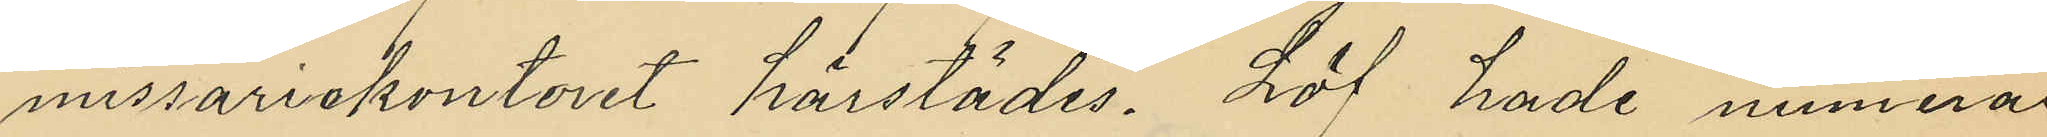missariekontoret härstädes. Löf hade numera
